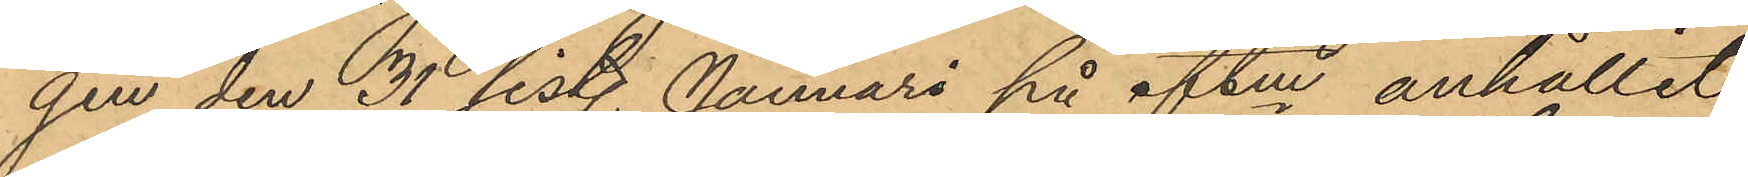gen den 31 sist. Januari på eftm anhållit
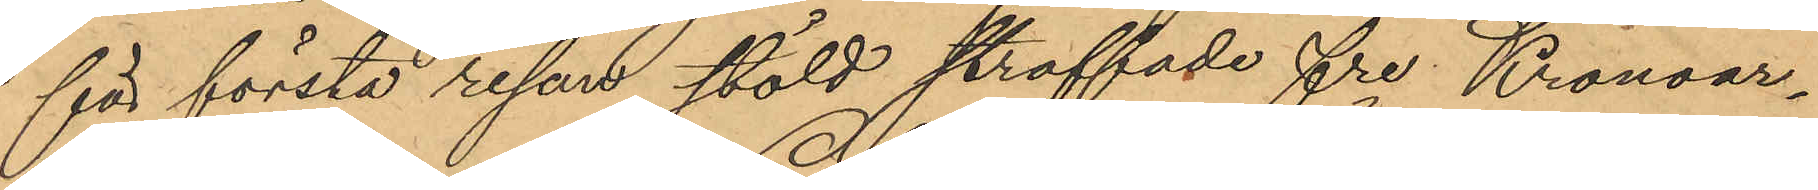för första resan stöld straffade fre Kronoar¬
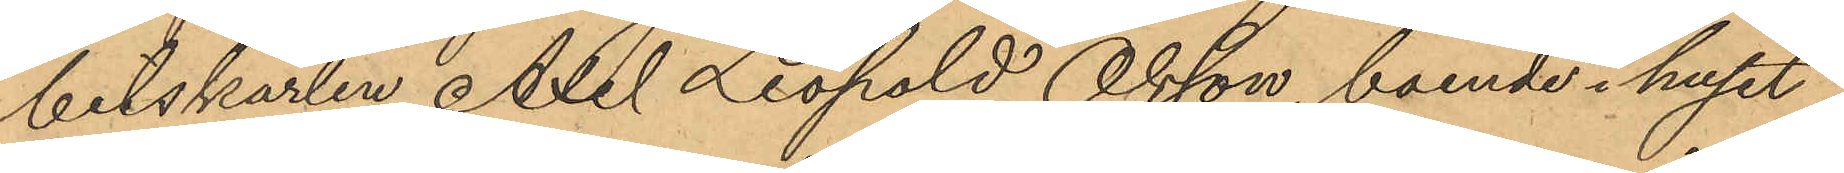betskarlen Axel Leopold Olsson, boende i huset
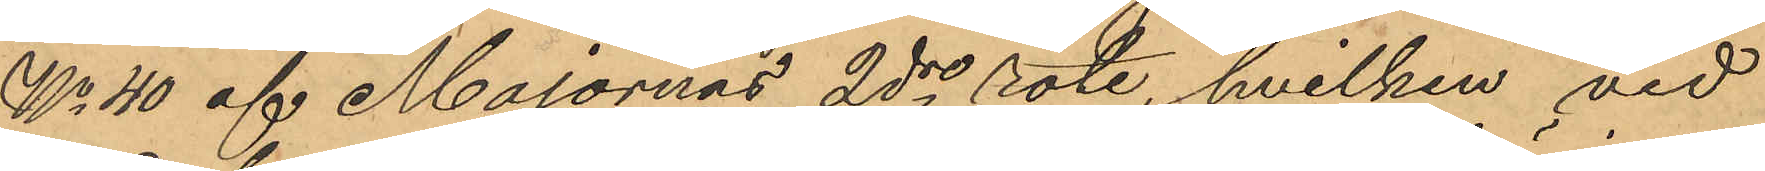No 40 af Majornas 2dre rote, hvilken vid
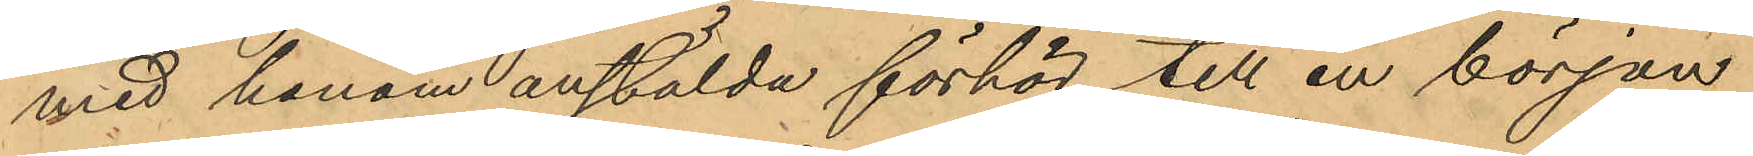med honom anstälda förhör till en början
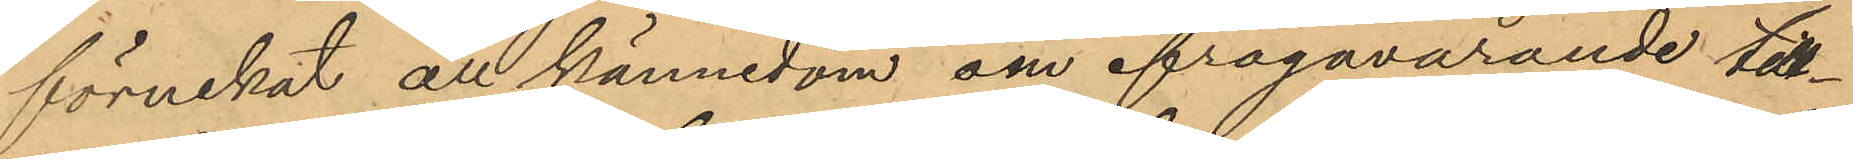förnekat all kännedom om ifrågavarande till¬
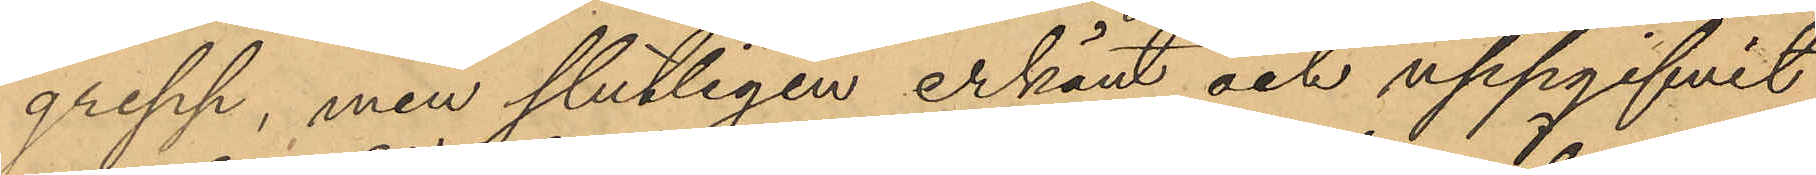grepp, men slutligen erkänt och uppgifvit
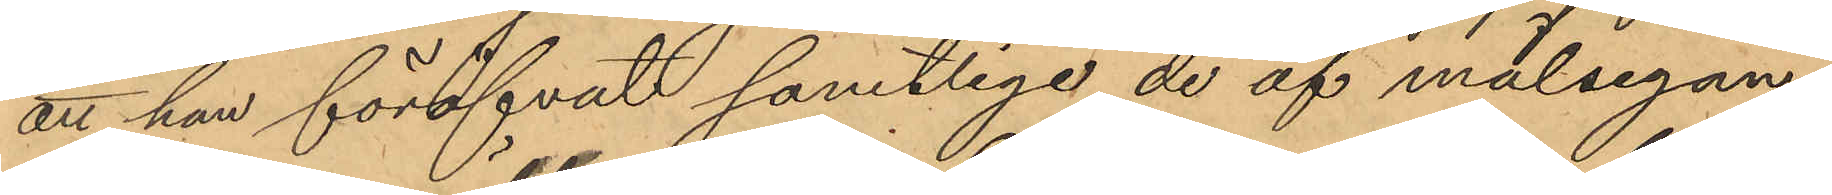att han föröfvat samtlige de af målsegan¬
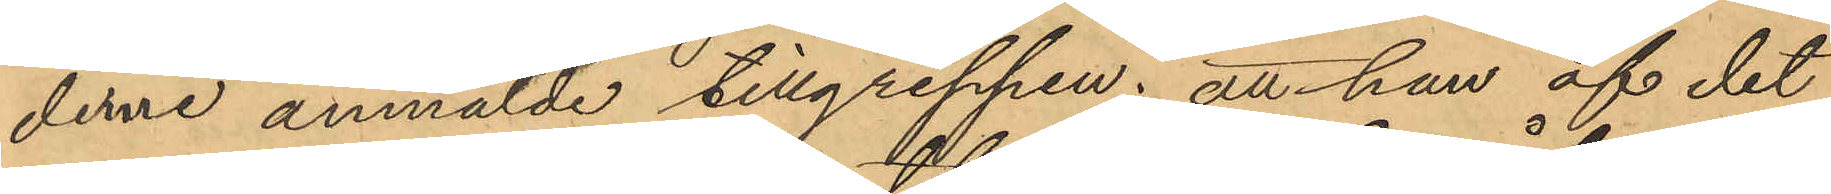derne anmälde tillgreppen; att han af det
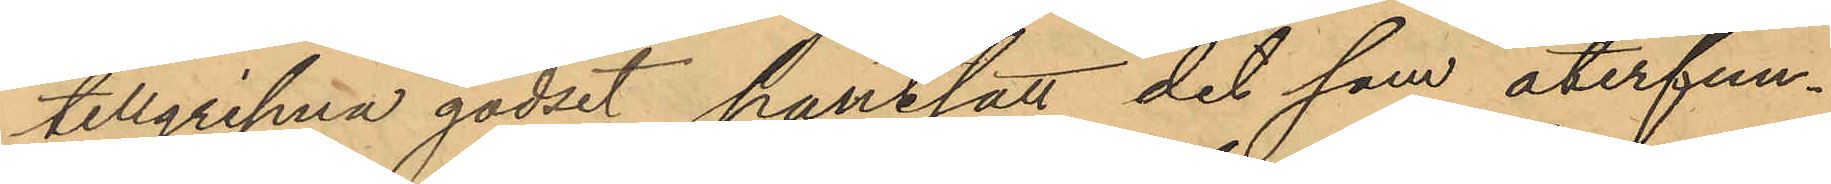tillgripna godset pantsatt det som återfun¬
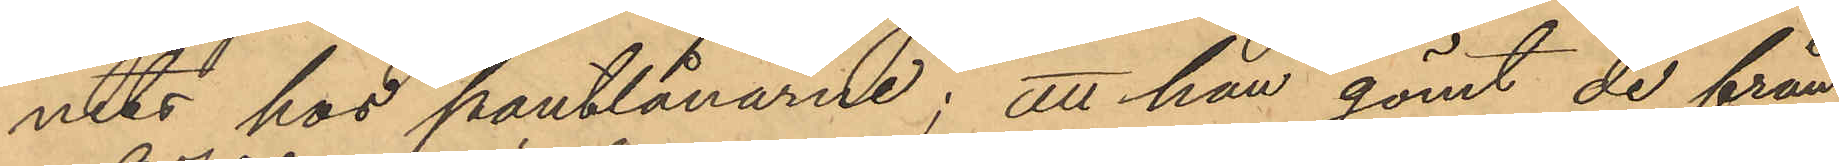nits hos pantlånarne; att han gömt de från
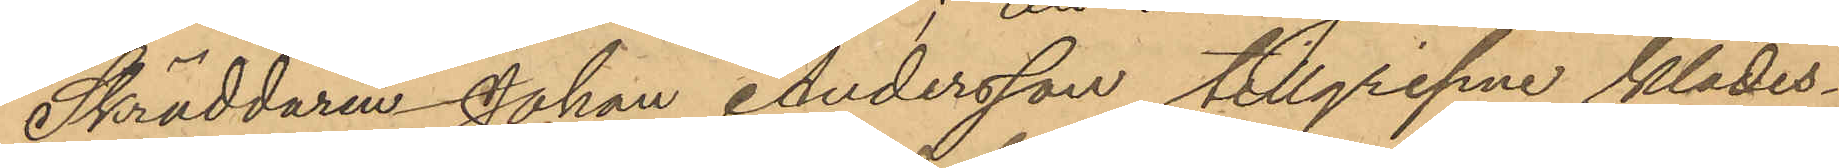Skräddaren Johan Andersson tillgripne klädes¬
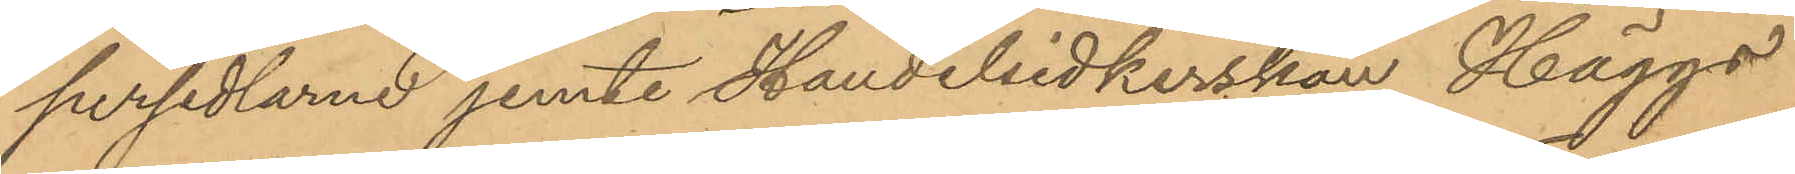persedlarne jemte Handelsidkerskan Häggs
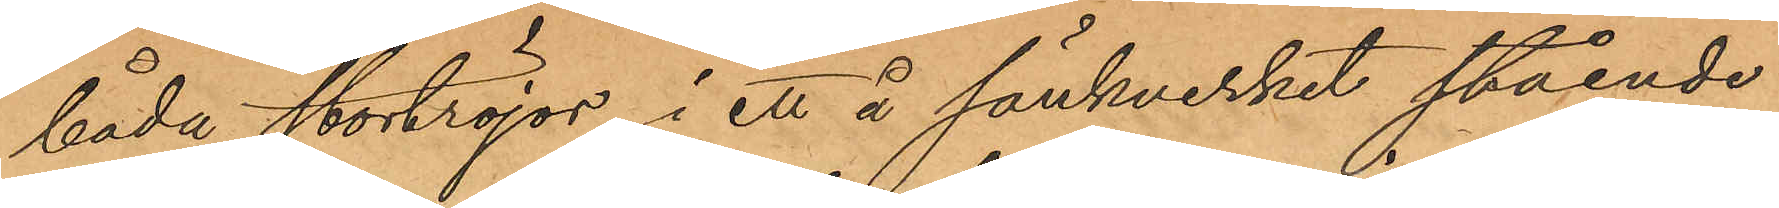båda stortröjor i ett å sänkverket stående
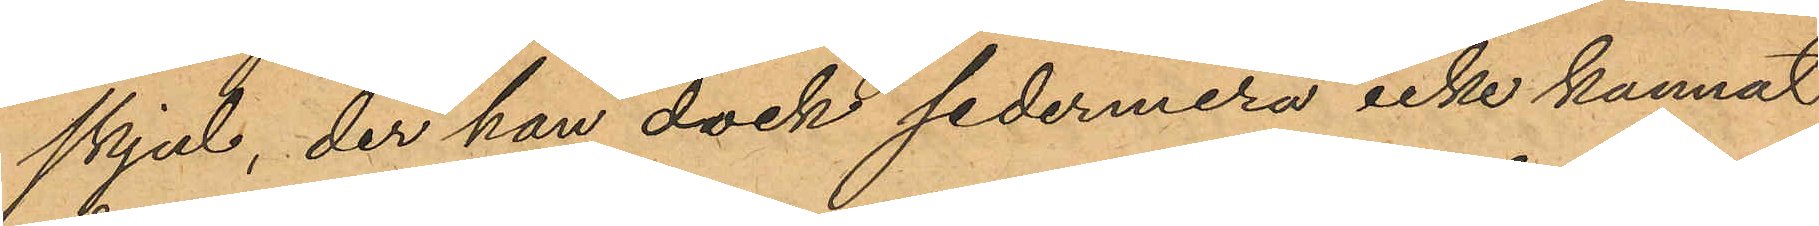skjul, der han dock sedermera icke kunnat
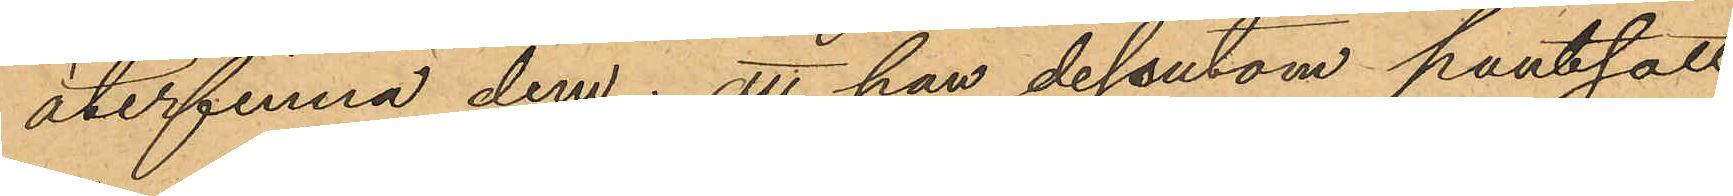återfinna dem; att han dessutom pantsatt
